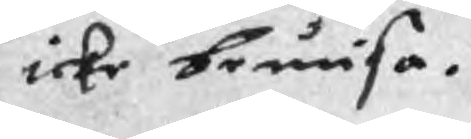icke bewisa.
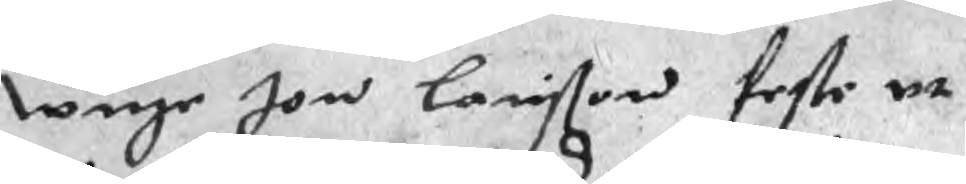wnge Jon Larisson feste ut
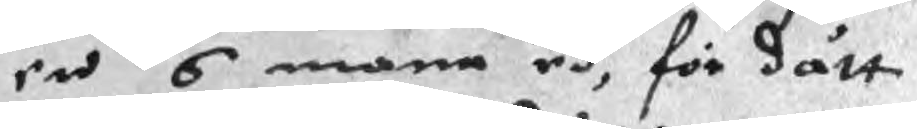en 6 mane ed, för dätt
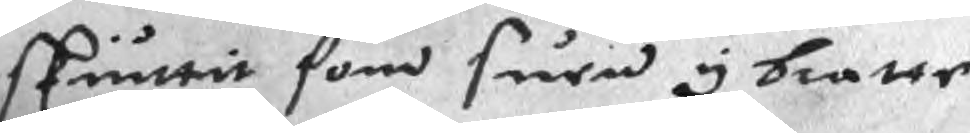skiuttit som suen y bratte
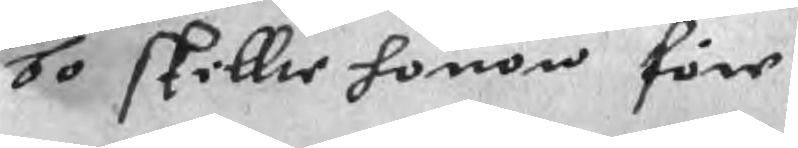bo skillte honom före
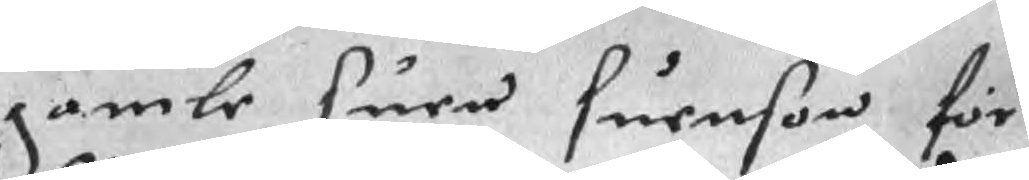gamle suen Suenson för
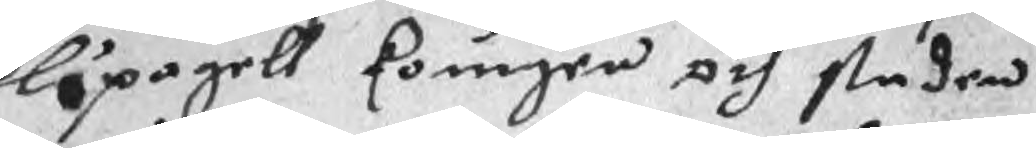löpagell kounger och staden
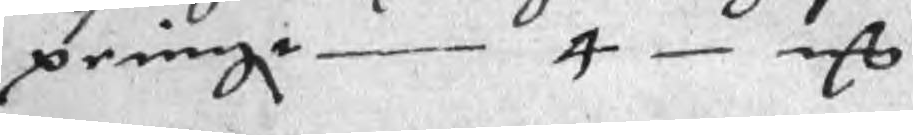peningr 4 mC
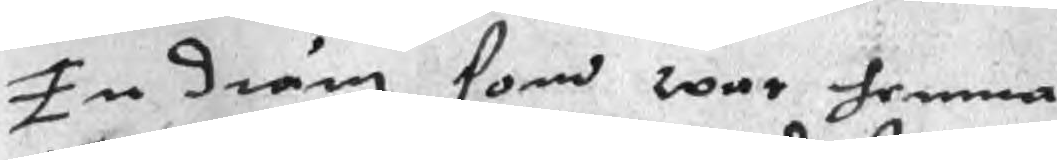En dräng som war hemma
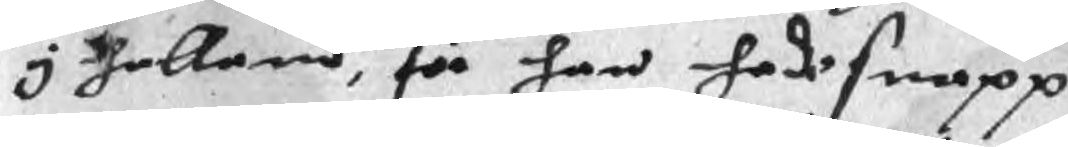I halland, för han hade snapp
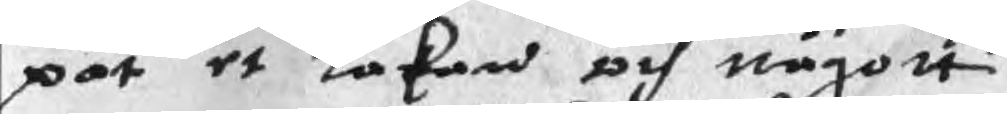pat et lakan och någott
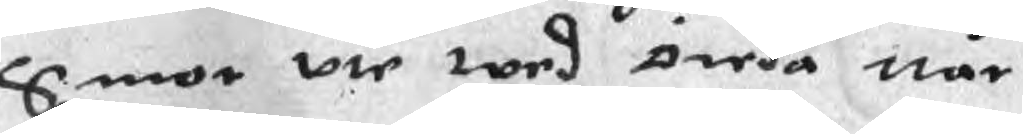Smor vte wed Öreda när
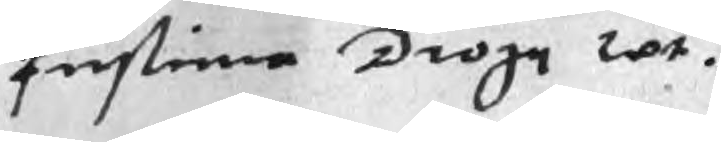Fustina Droge wt.
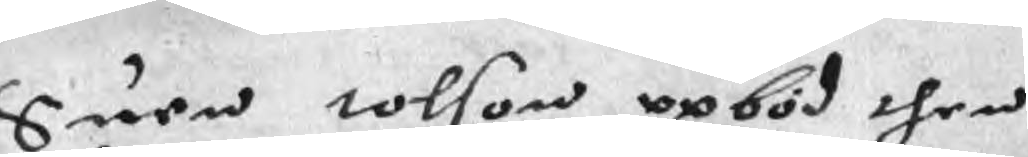Suen tolson opböd then
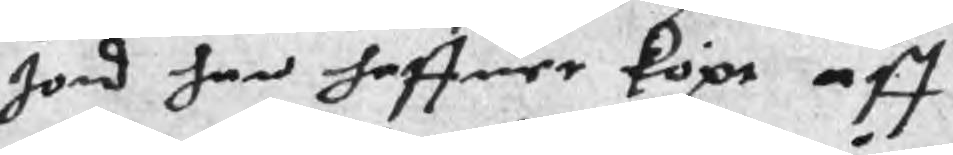Jord han haffuer köpt aff
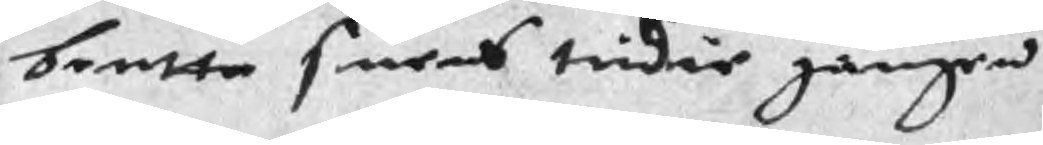bentta suens tridie gången
